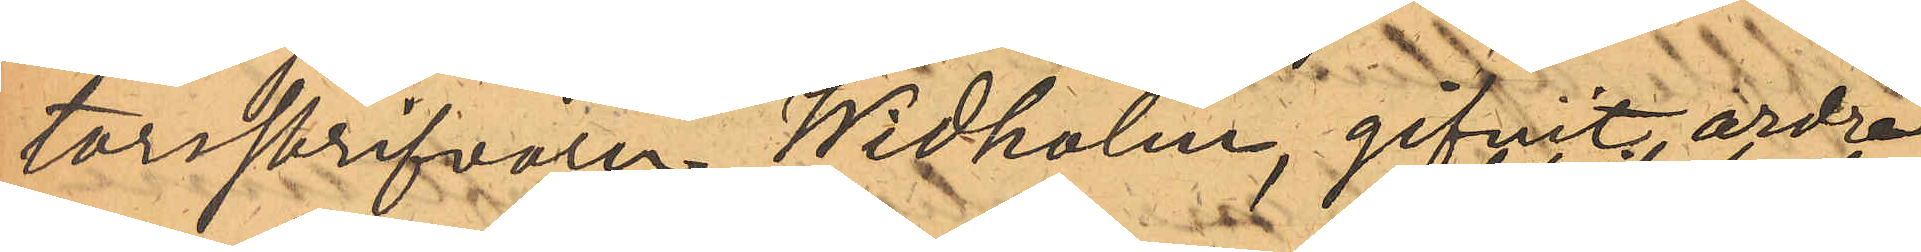torsskrifvaren Widholm, gifvit ordre
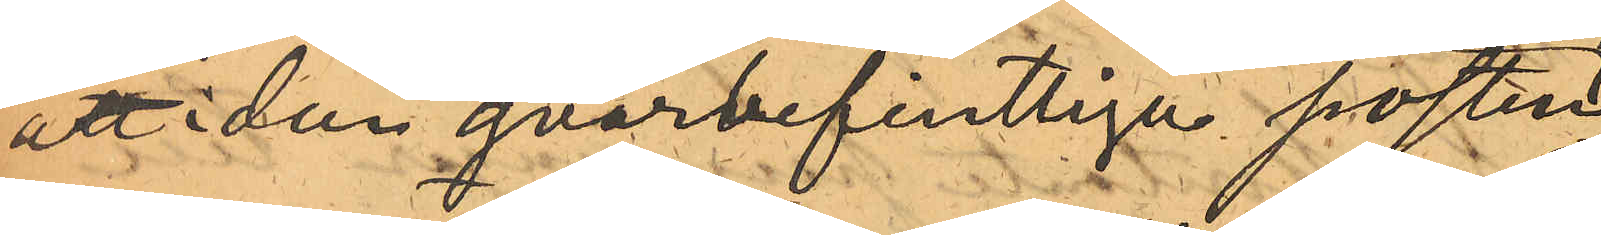att i den qvarbefintliga posten
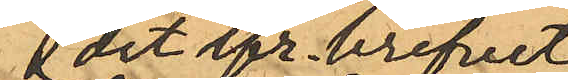det ifr. brefvet
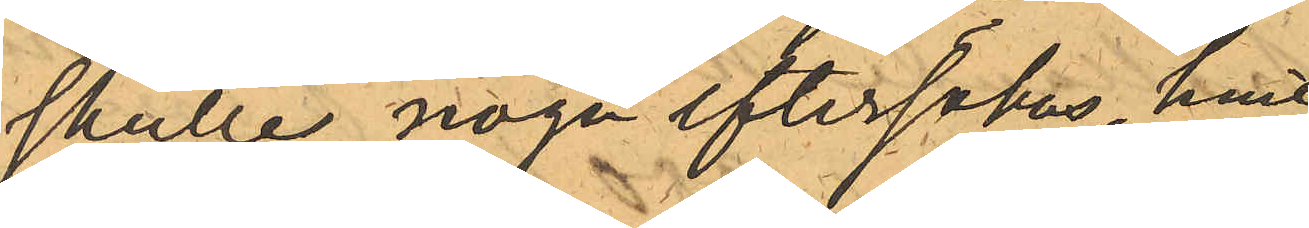skulle noga eftersökas, hvil¬
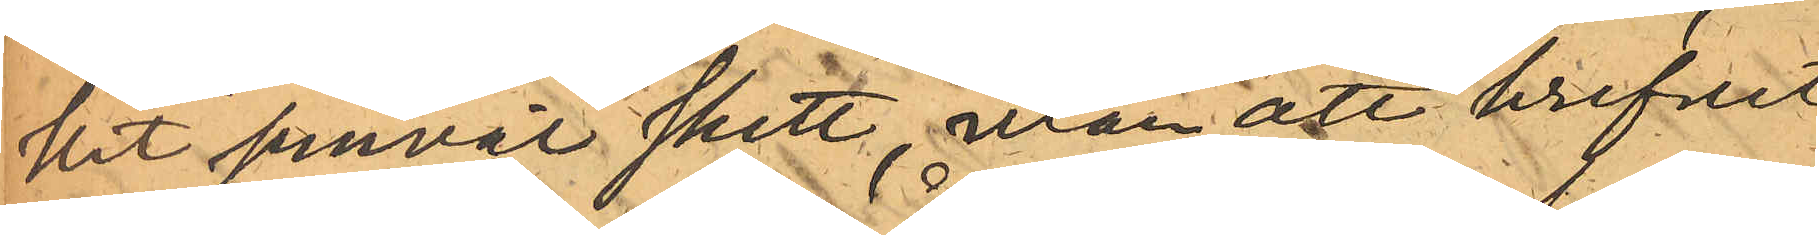ket jemväl skett, utan att brefvet
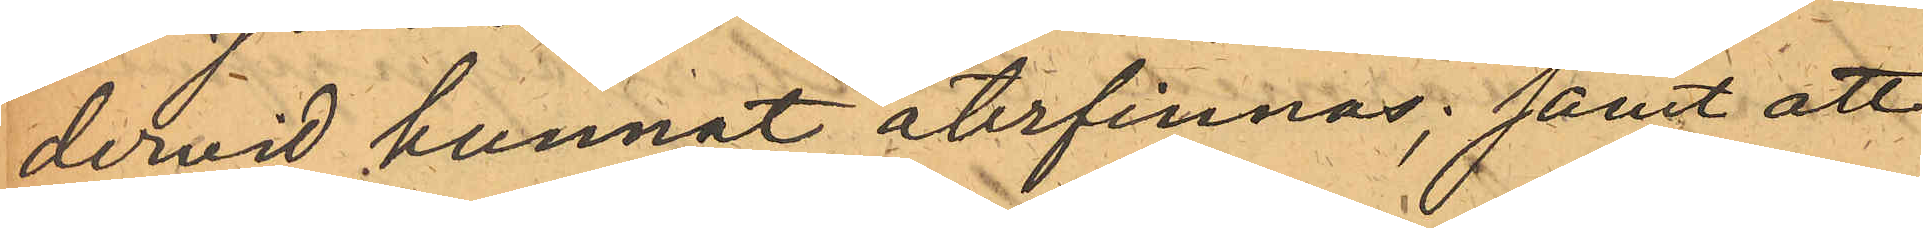dervid kunnat återfinnas; samt att
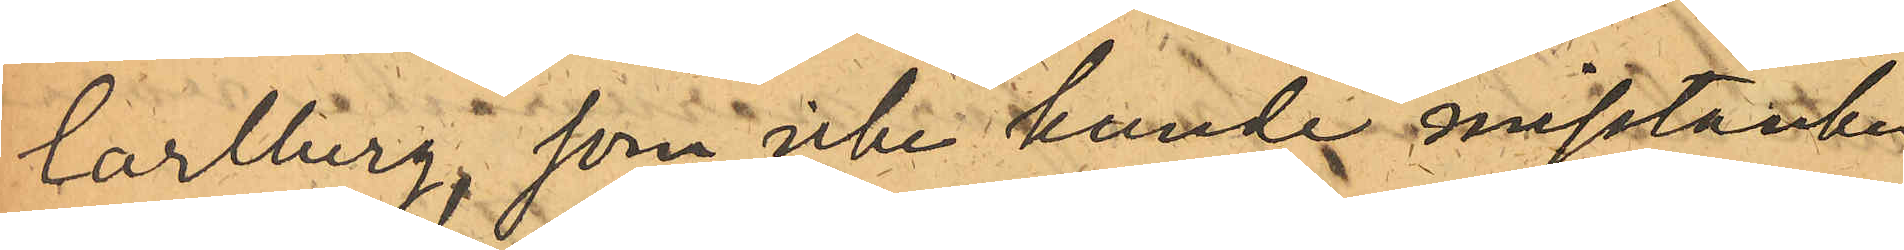Carlberg, som icke kunde misstänka
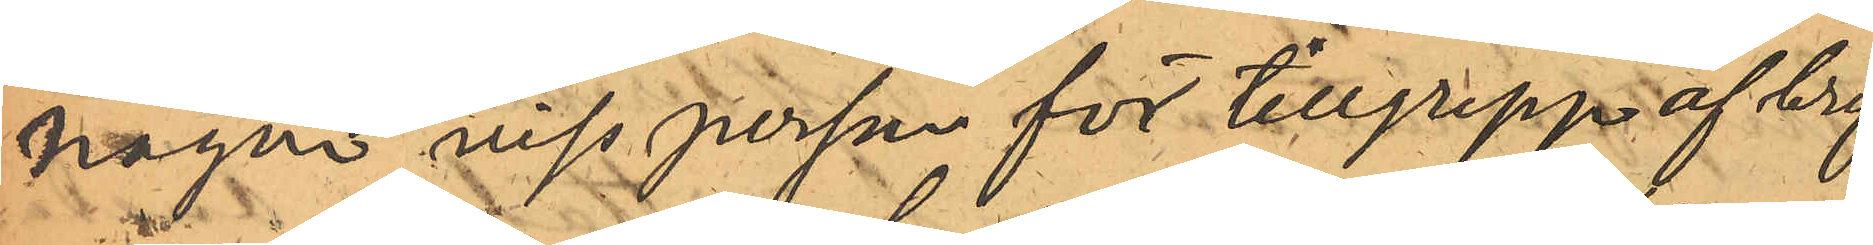någon viss person för tillgrepp af bref¬
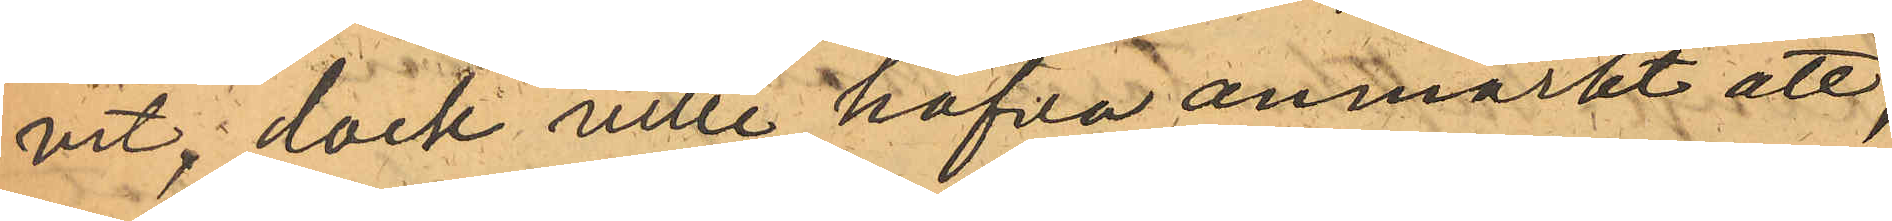vet, dock ville hafva anmärkt att,
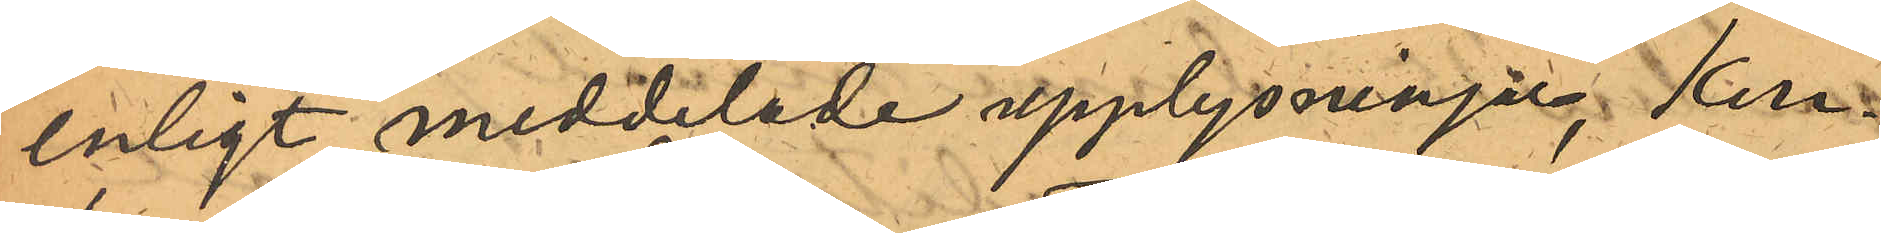enligt meddelade upplysningar, Kon¬
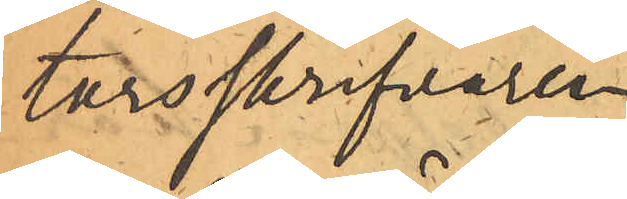torsskrifvaren
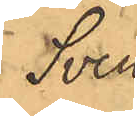Sven
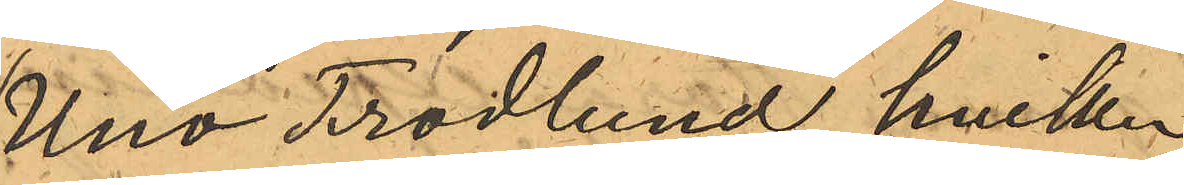Uno Frodlund, hvilken
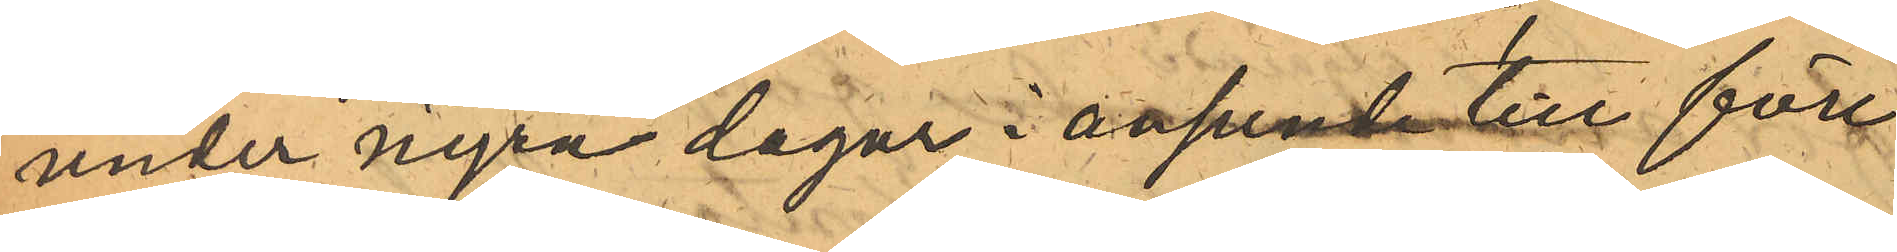under några dagar i anseende till för¬
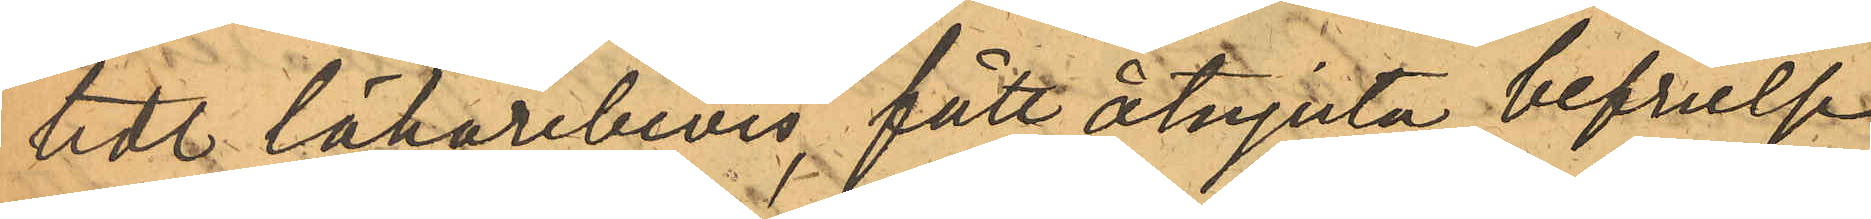tedt läkarbevis, fått åtnjuta befrielse
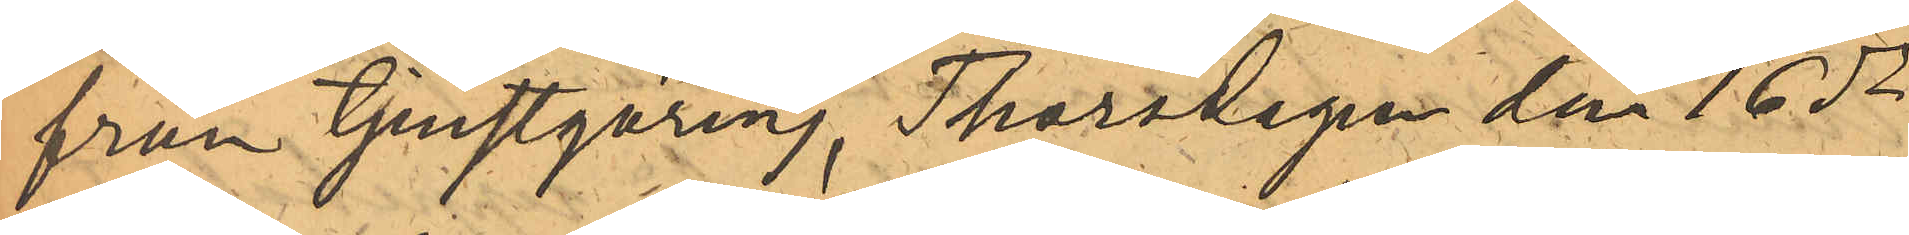från Tjenstgöring Thorsdagen den 16 ds
